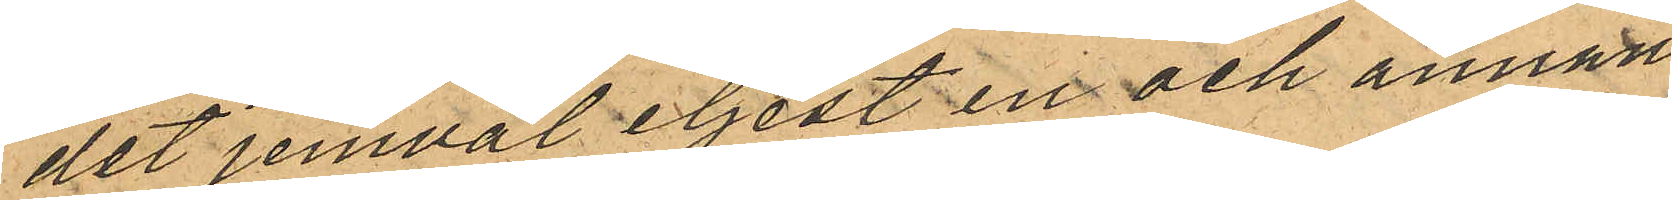det jemväl eljest en och annan
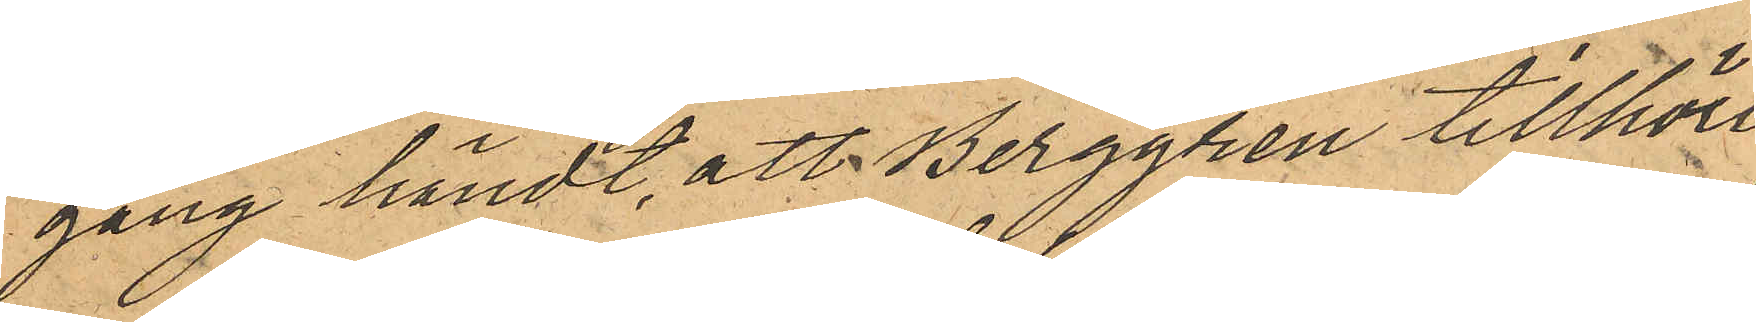gång händt, att Berggren tillhöri¬
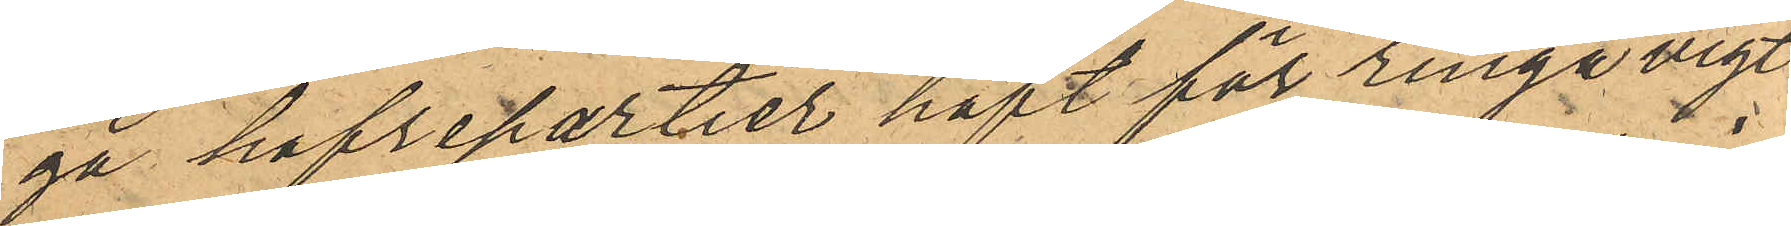ga hafrepartier haft för ringa vigt
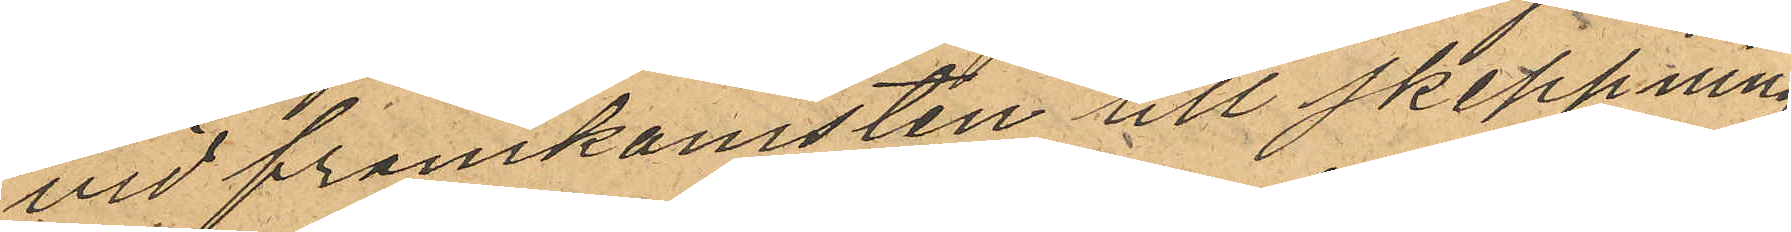vid framkomsten till skeppnings¬
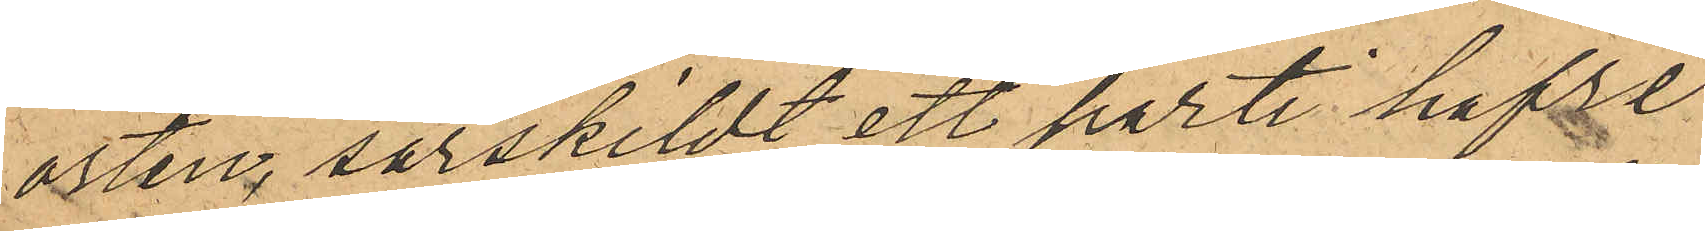orten, särskildt ett parti hafre
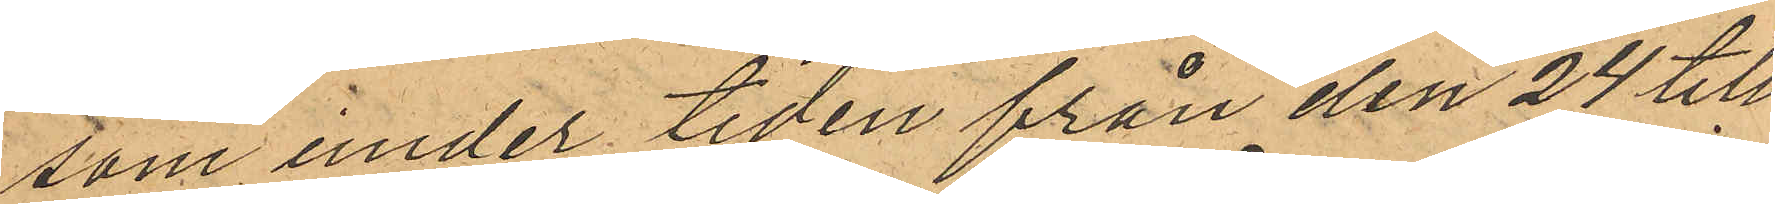som under tiden från den 24 till
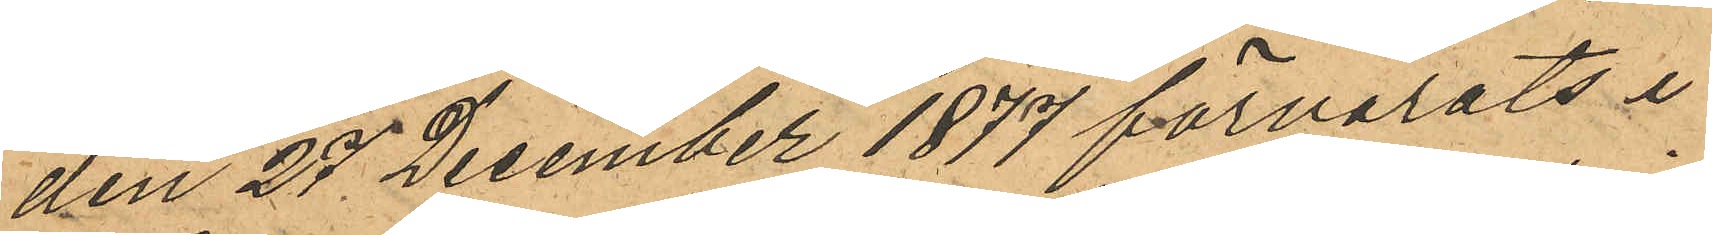den 27 December 1877 förvarats i
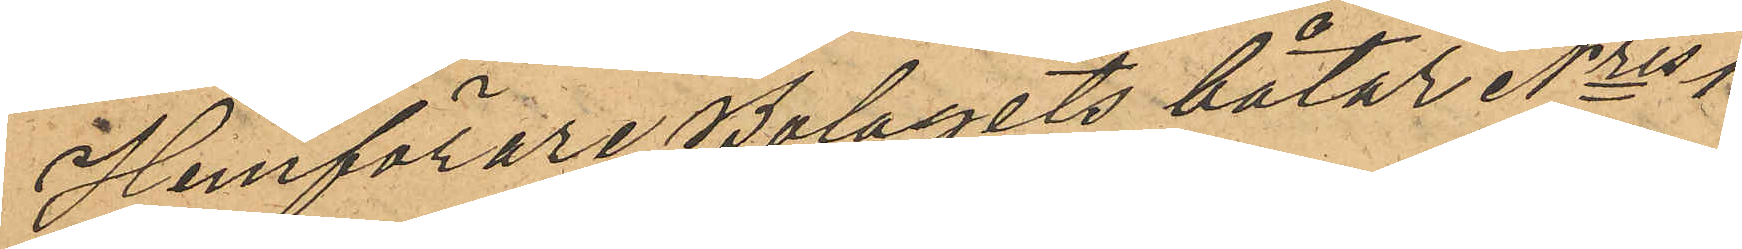Hemförare Bolagets båtar Nris 1
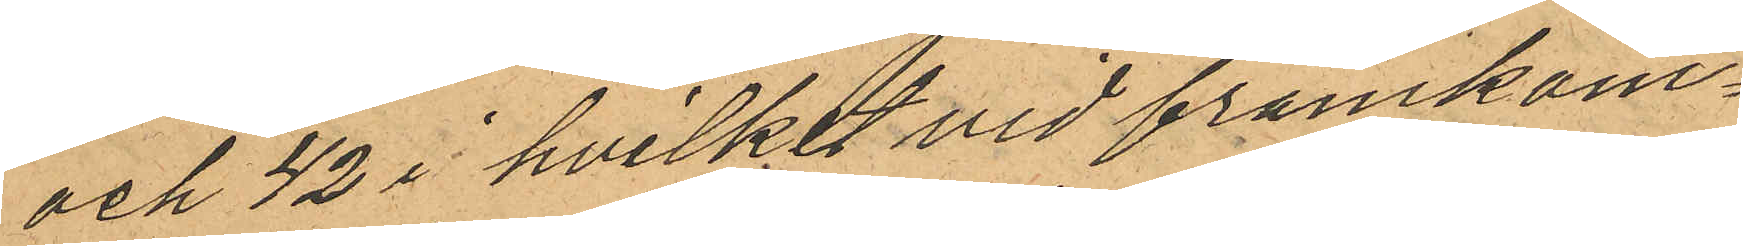och 42 i hvilket vid framkom¬
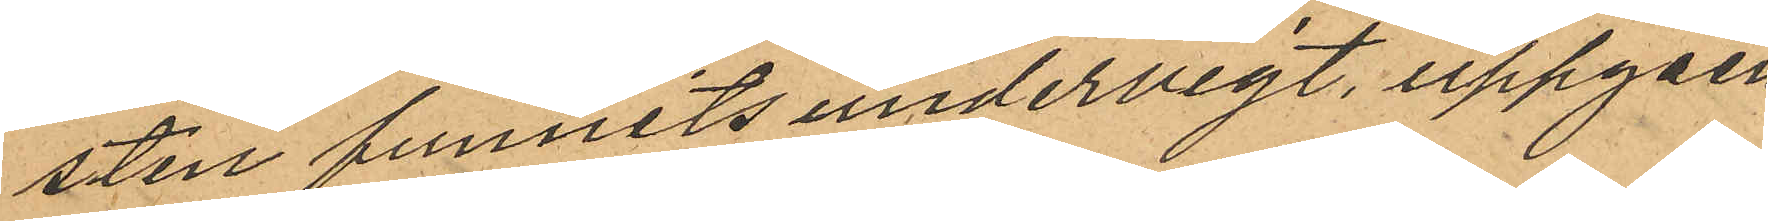sten funnits undervigt uppgåen¬
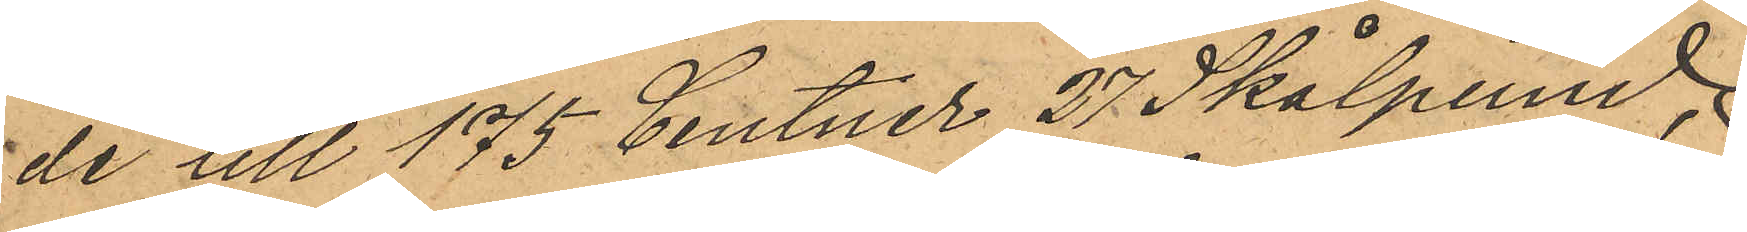de till 175 Centner 27 Skålpund,
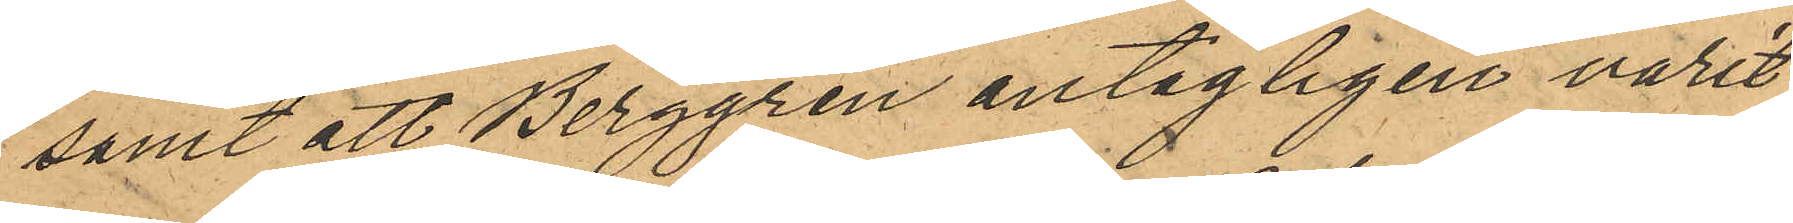samt att Berggren antagligen varit
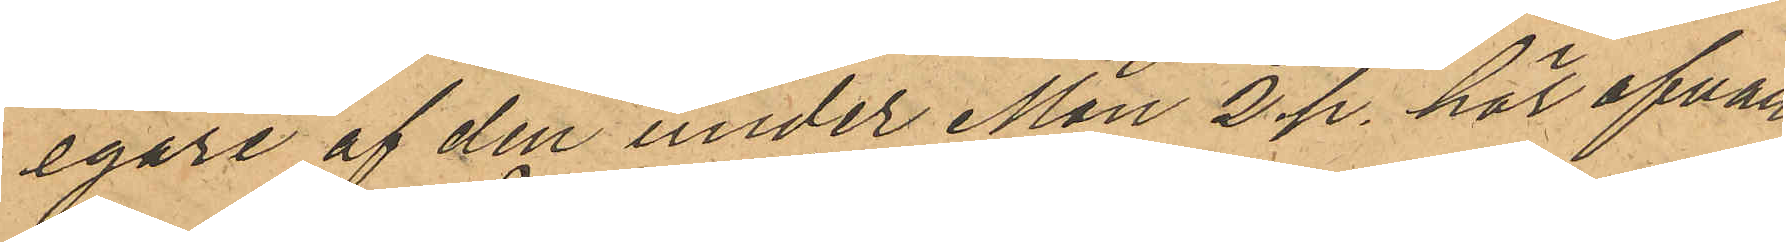egare af den under Mon 2 p. här ofvan¬
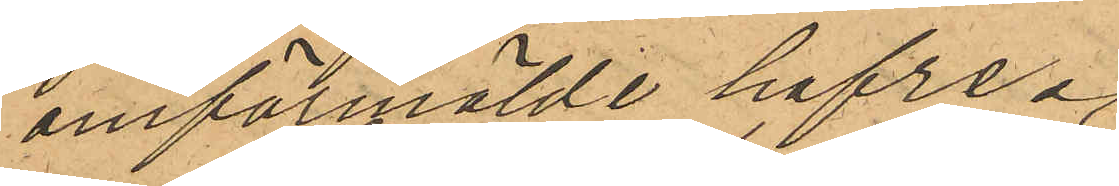omförmälde hafre.
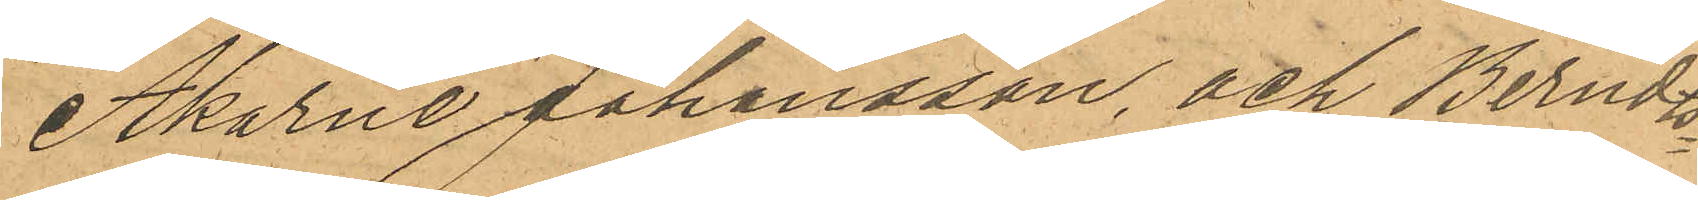Åkarne Johansson, och Berndts¬
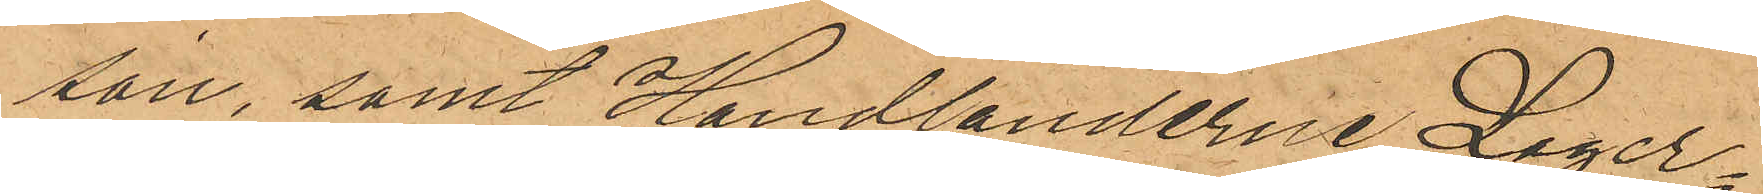son, samt Handlanderne Lager¬
